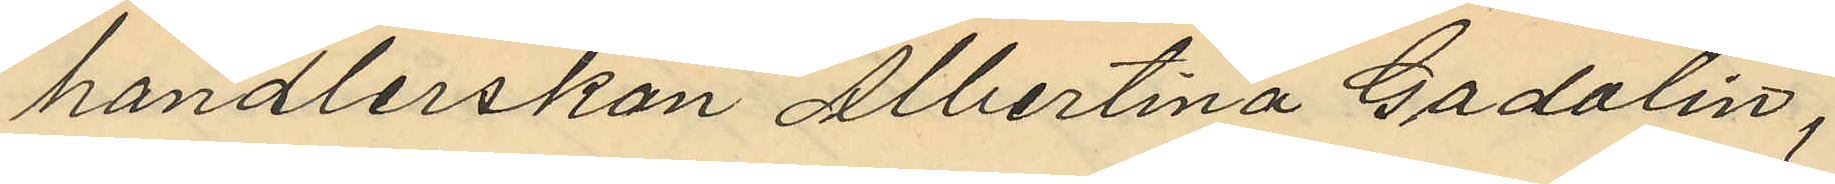handlerskan Albertina Gadalin,
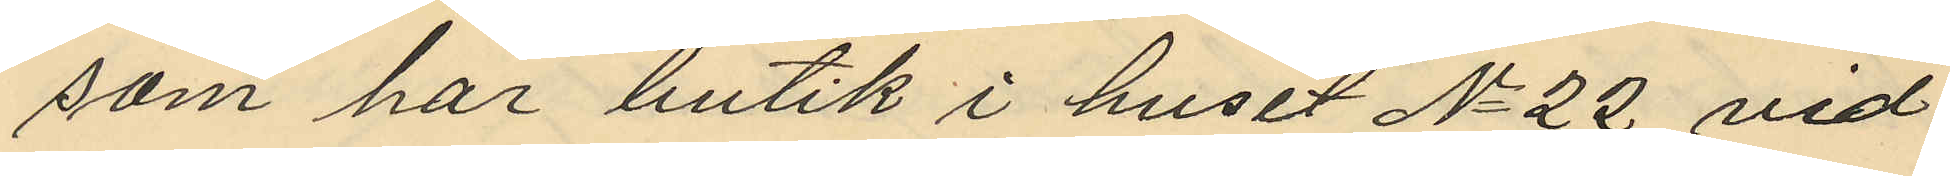som har butik i huset No 22 vid
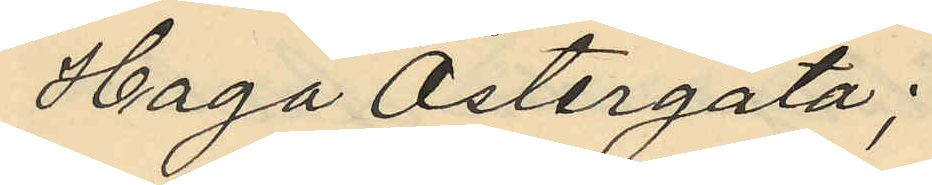Haga Östergata;
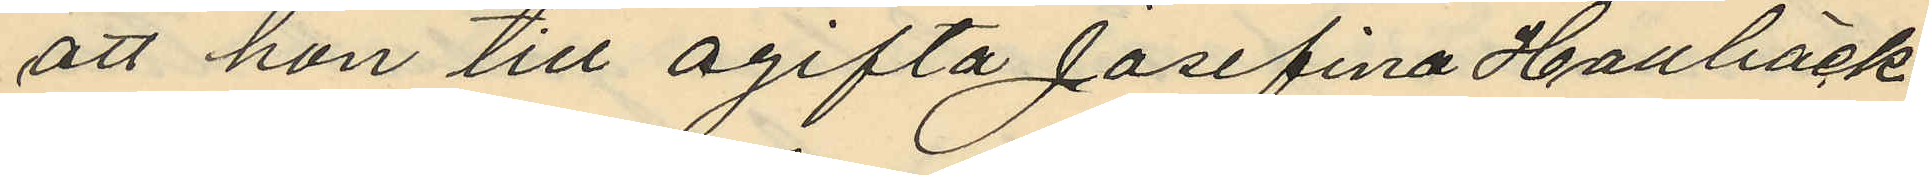att hon till ogifta Josefina Hallbäck
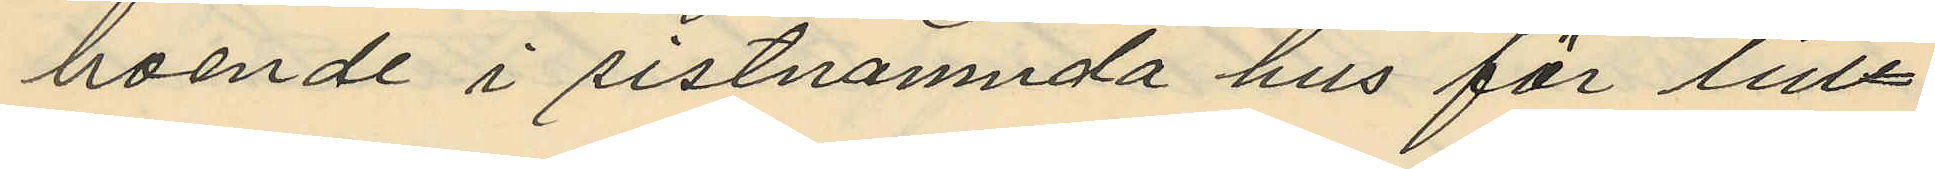boende i sistnämnda hus för till¬
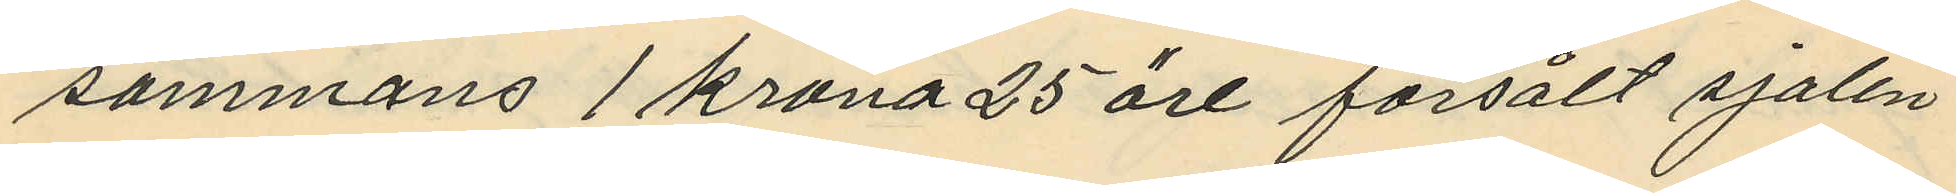sammans 1 krona 25 öre försålt sjalen
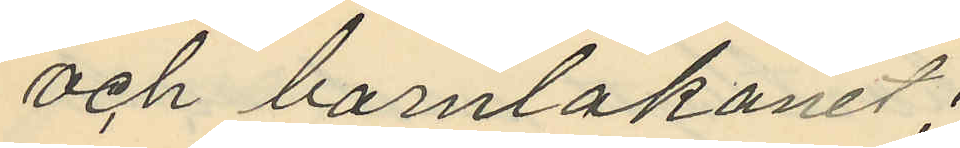och barnlakanet.
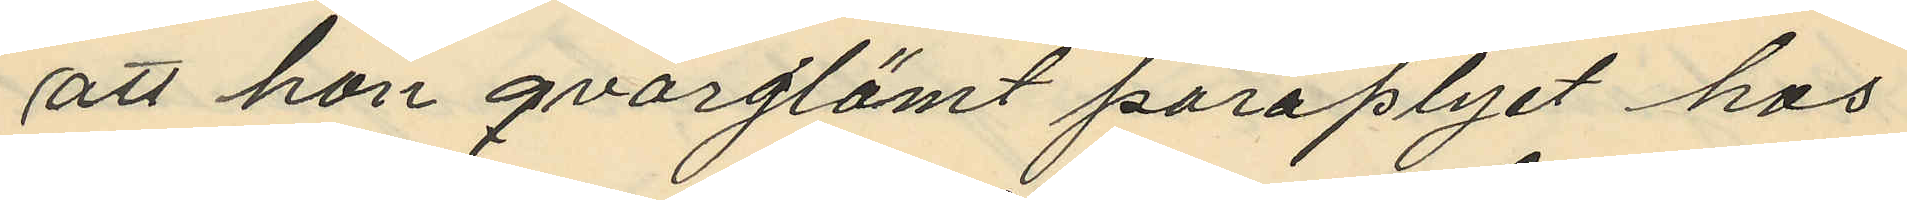att hon qvarglömt paraplyet hos
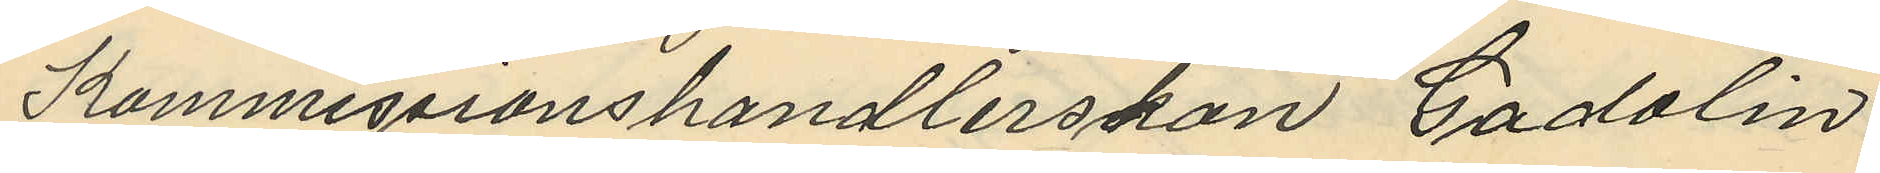Kommissionshandlerskan Gadalin,
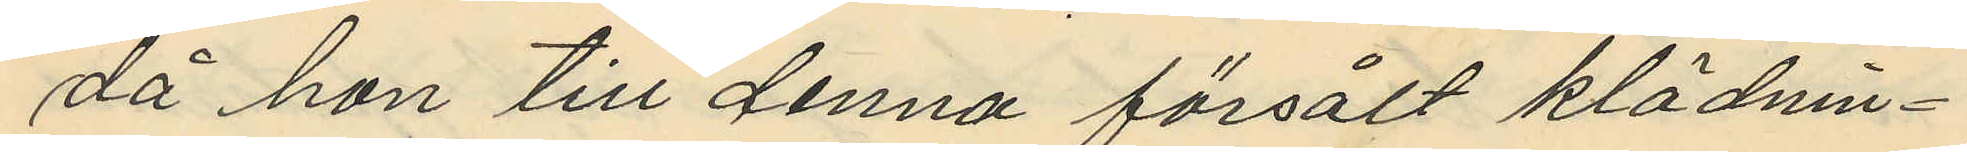då hon till denna försålt klädnin¬
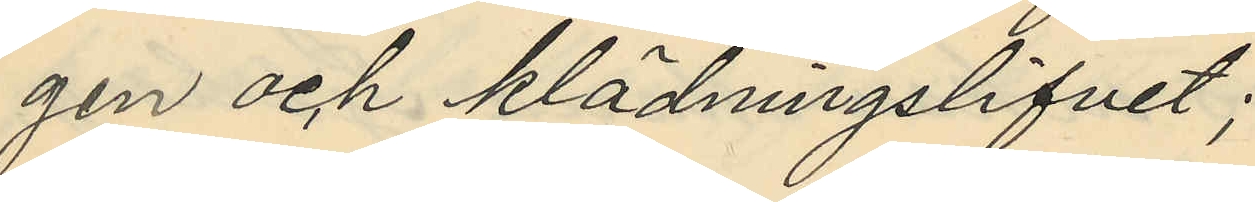gen och klädningslifvet;
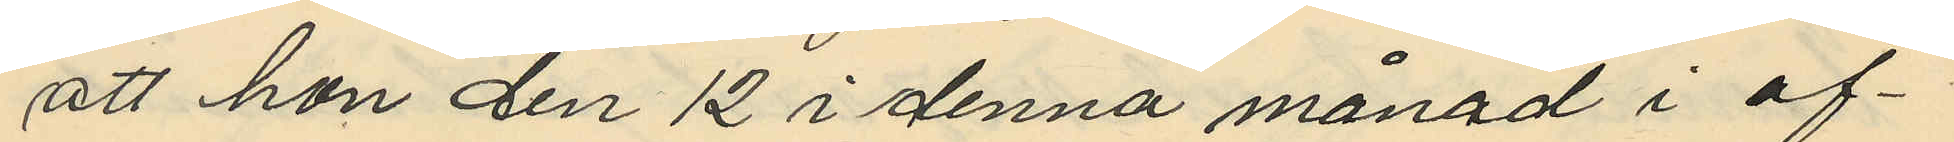att hon den 12 i denna månad i of¬
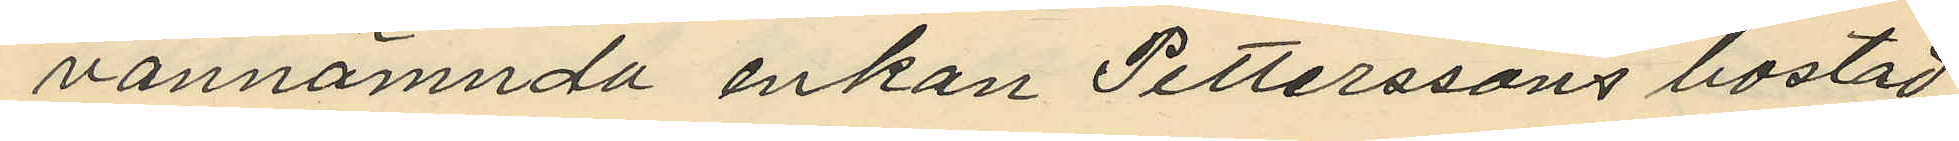vannämnda enkan Petterssons bostad
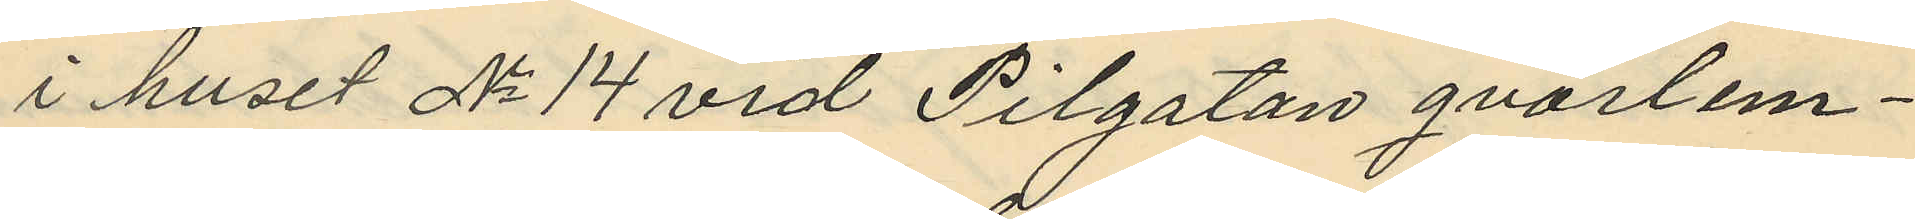i huset No 14 vid Pilgatan qvarlem¬
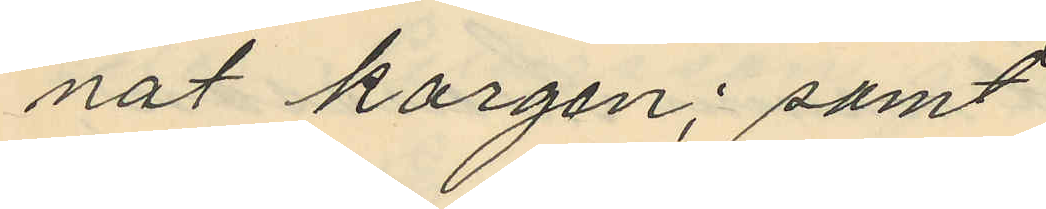nat korgen; samt
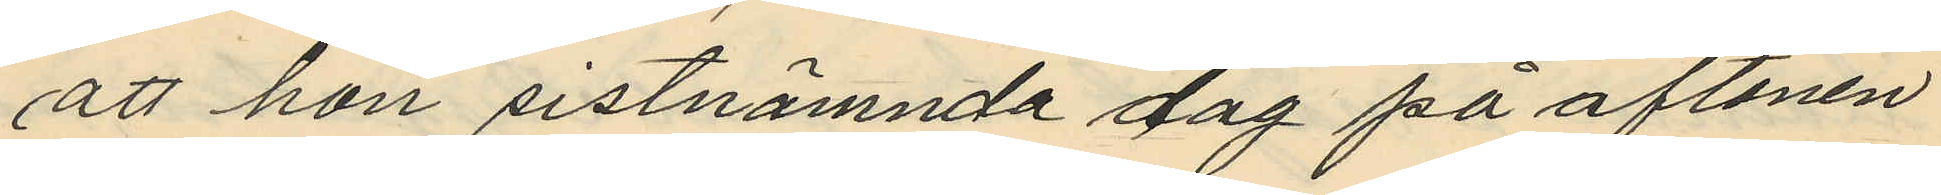att hon sistnämnda dag på aftonen
